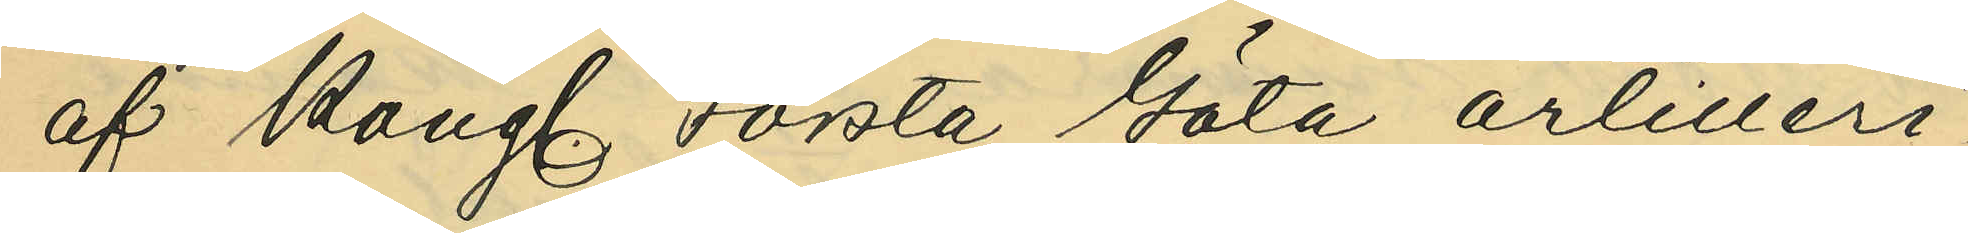af Kongl. Första Göta Artilleri¬
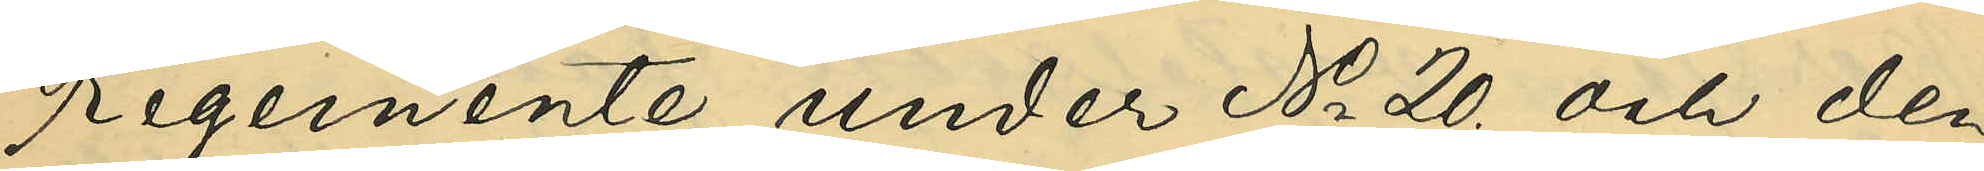regemente under No 20 och den
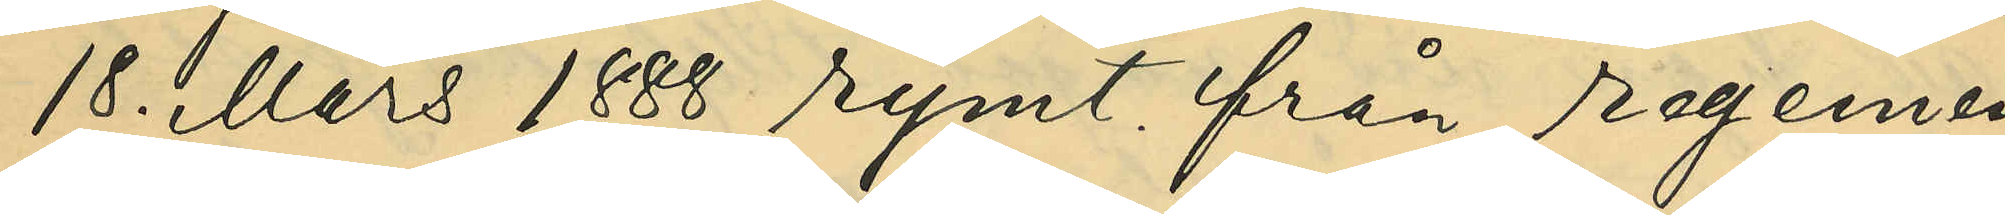18 Mars 1888 rymt från regemen¬
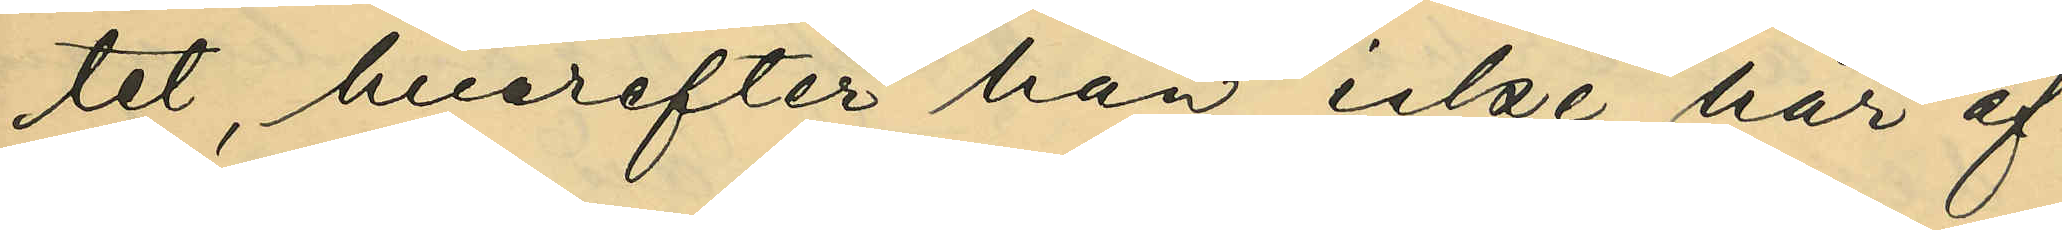tet, hvarefter han icke här af¬
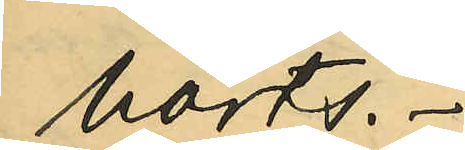hörts.
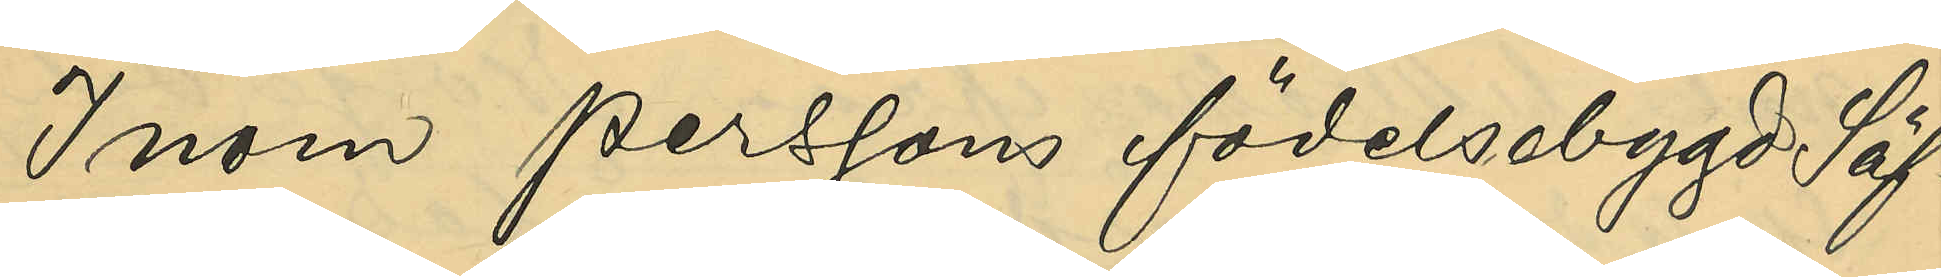Inom Perssons födelsebygd Säf¬
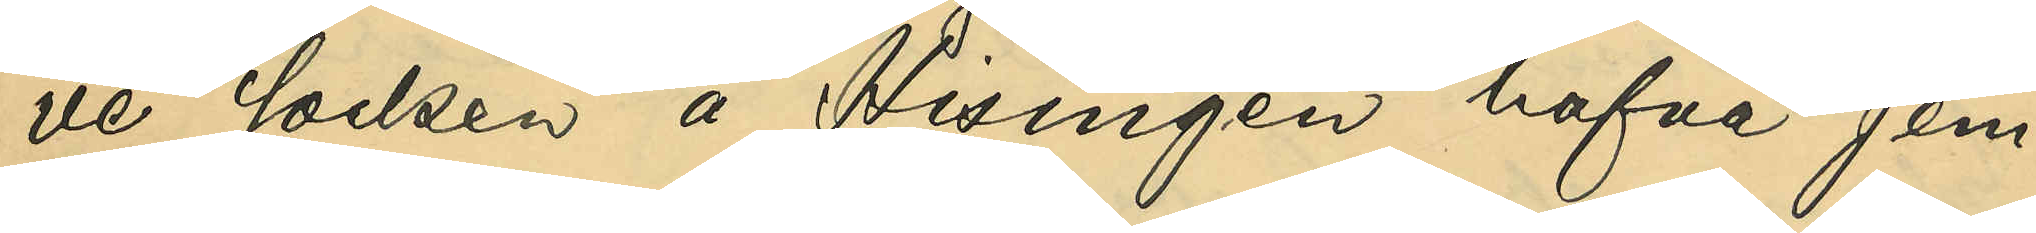ve socken å Hisingen hafva jem¬
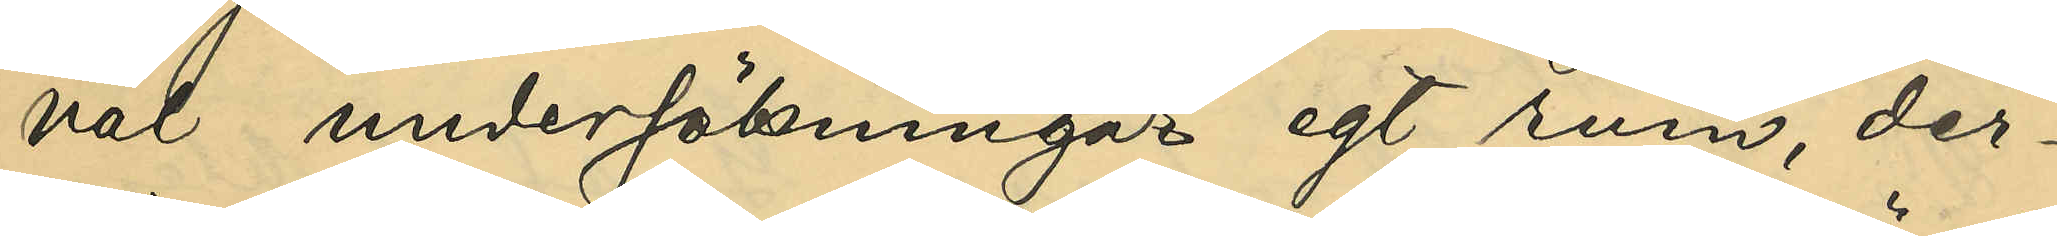väl undersökningar egt rum, der¬
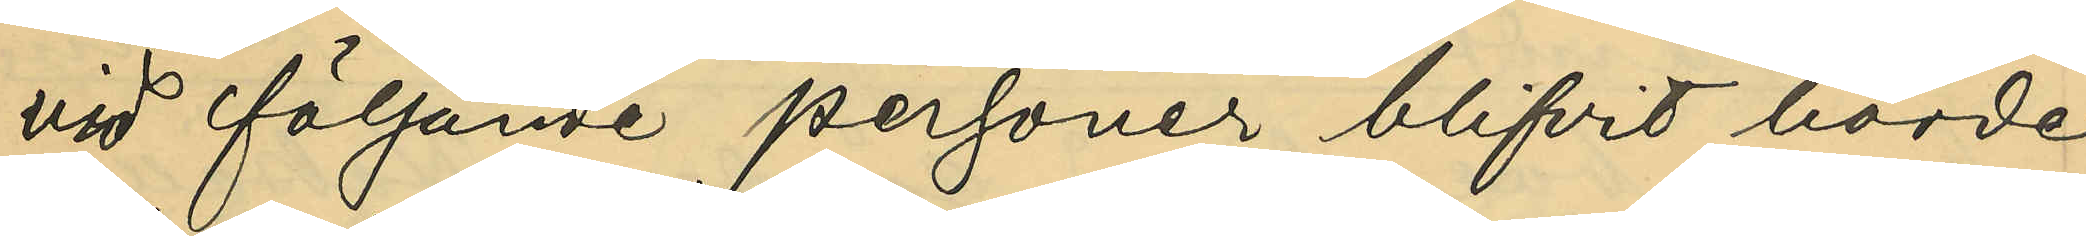vid följande personer blifvit hörde
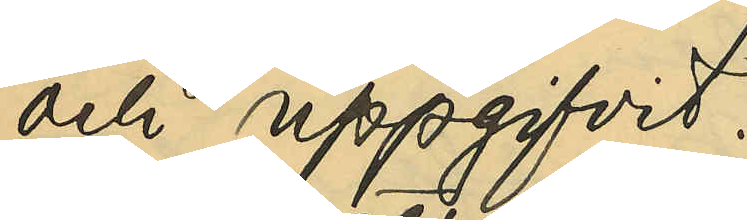och uppgifvit:
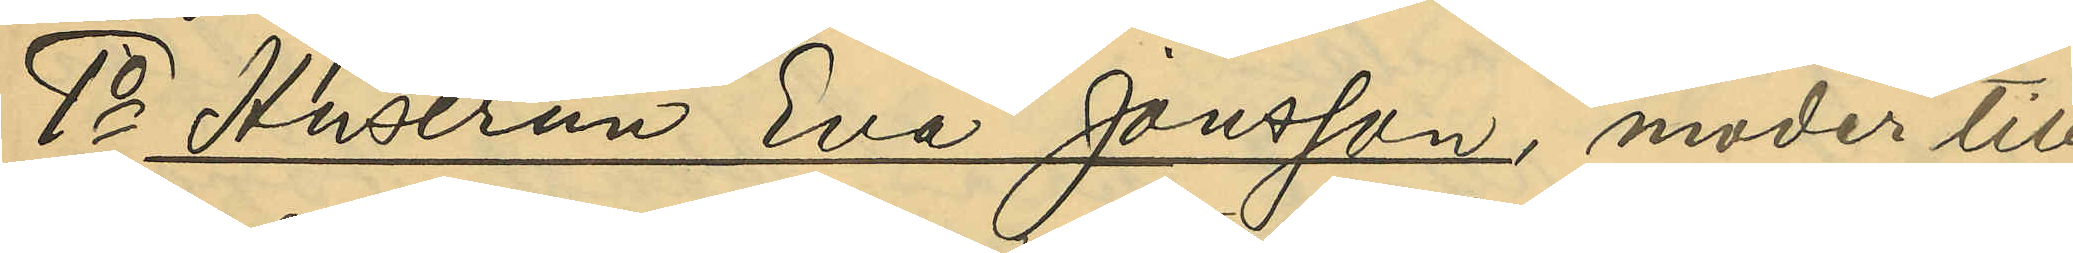1o Hustrun Eva Jonsson, moder till
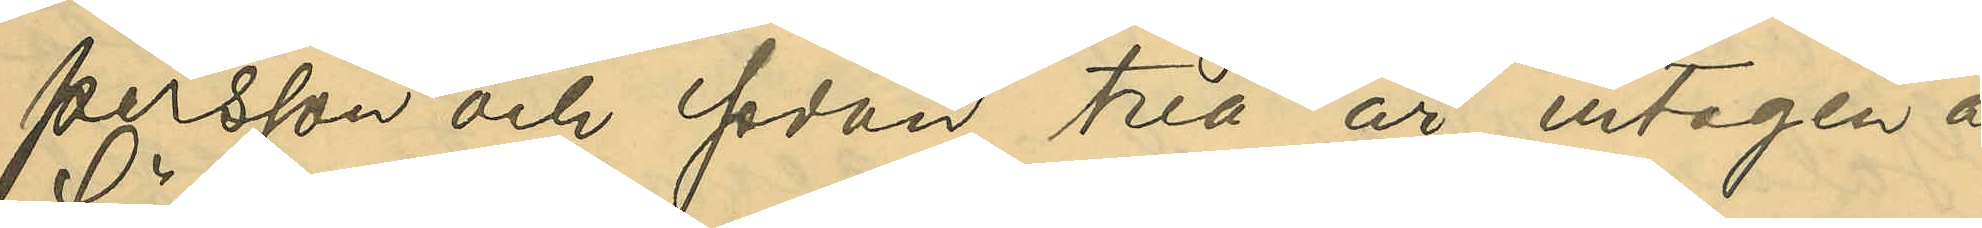Persson och sedan två år intagen å
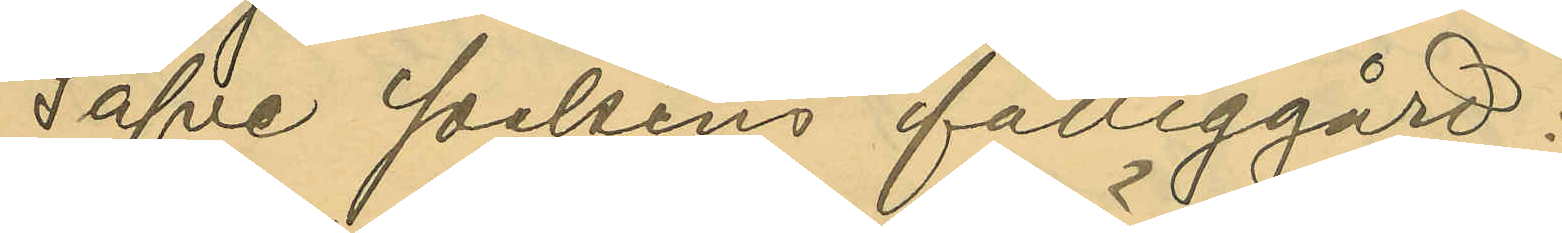Säfve sockens fattiggård:
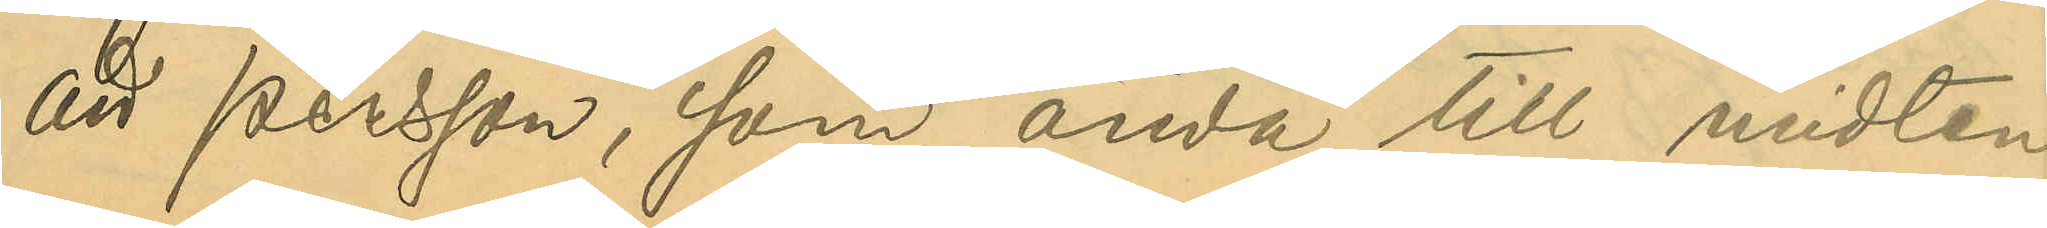att Persson, som ända till midten
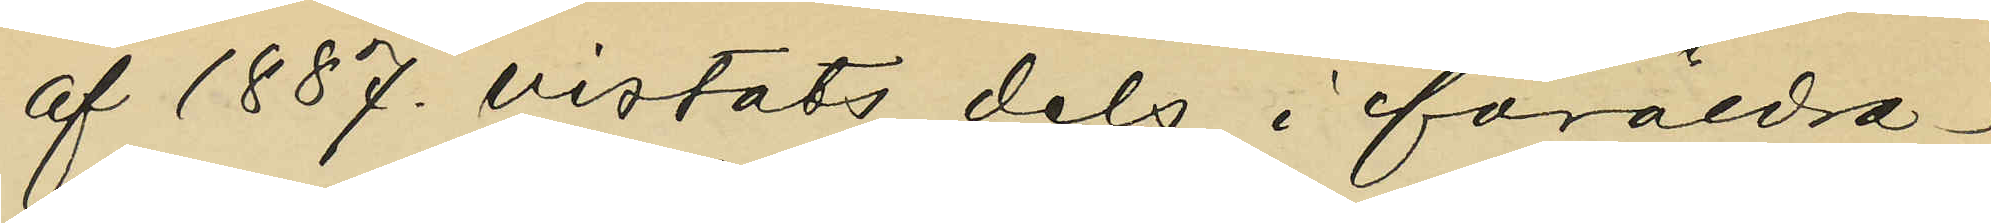af 1887 vistats dels i föräldra¬
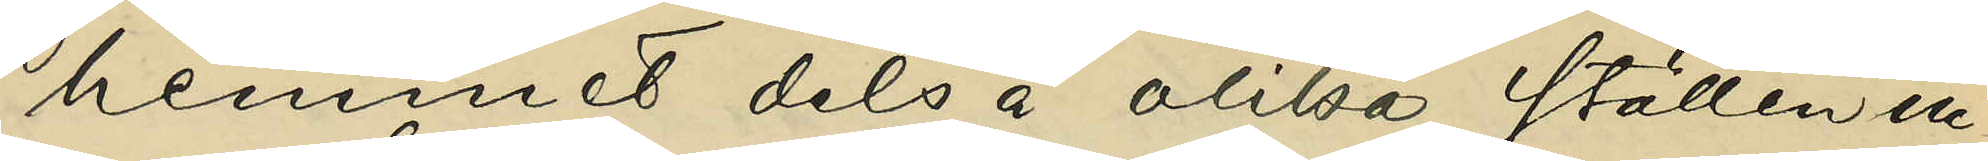hemmet dels å olika ställen in¬
